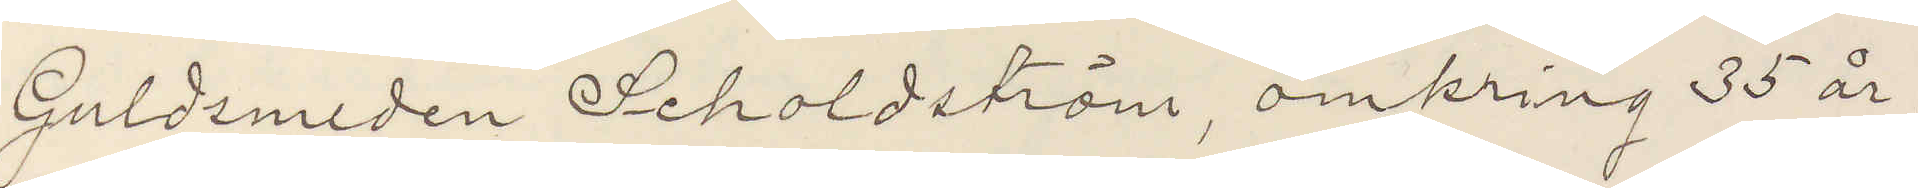Guldsmeden Scholdström omkring 35 år,
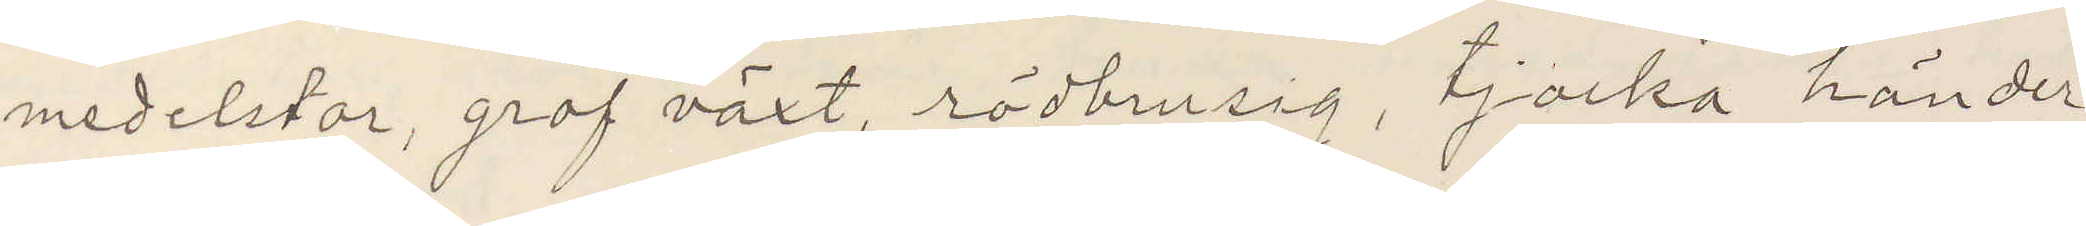medelstor, grof växt, rödbrusig, tjocka händer
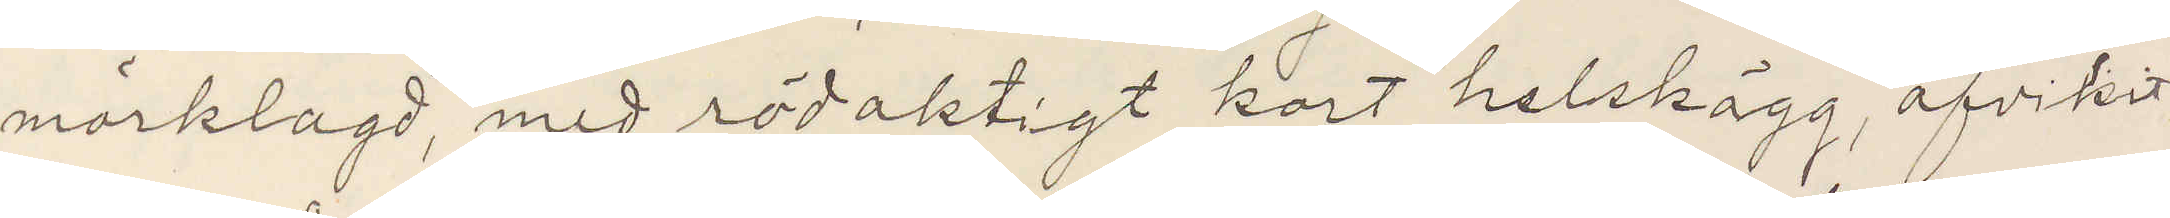mörklagd, med rödaktigt kort helskägg, afvikit
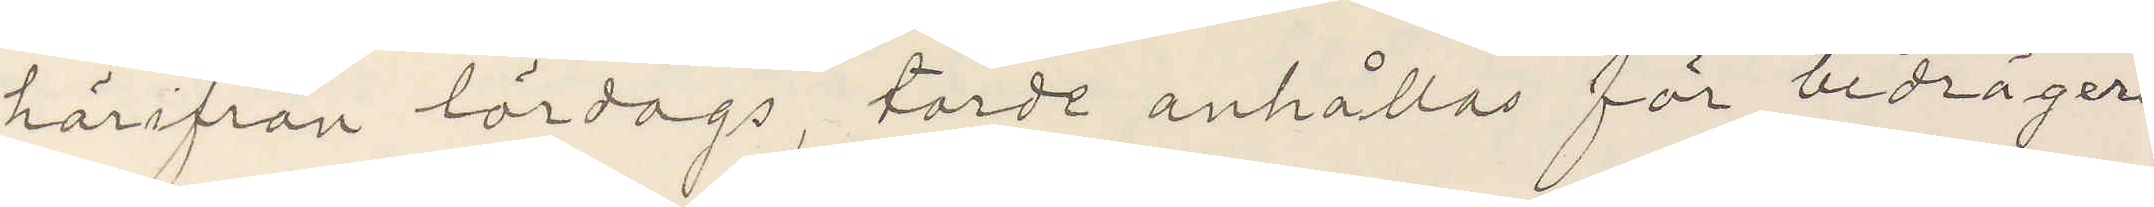härifrån lördags, torde anhållas för bedrägeri
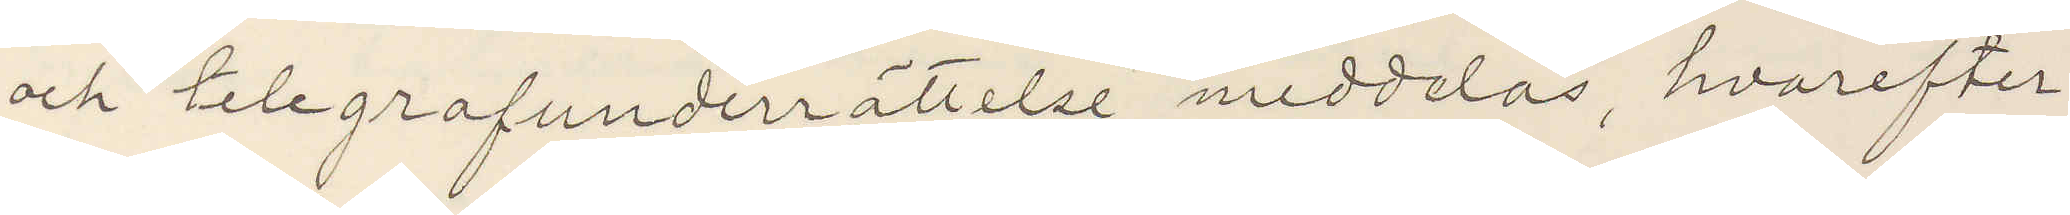och telegrafunderrättelse meddelas, hvarefter
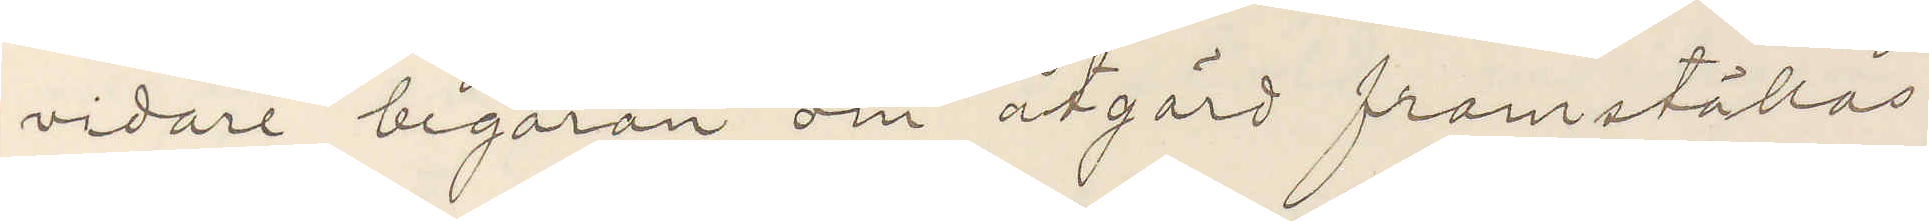vidare begäran om åtgärd framställas
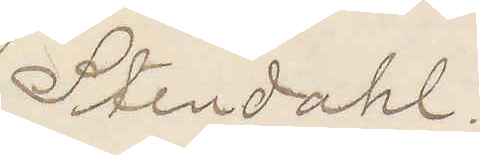Stendahl.
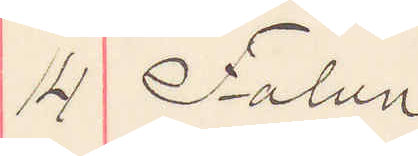14 Falun
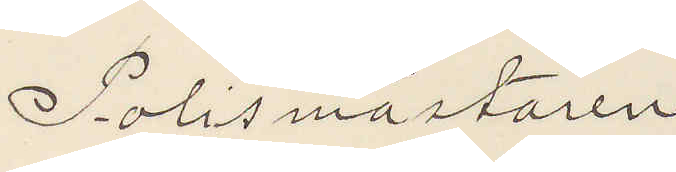Polismästaren
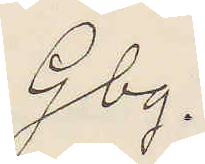Gbg.
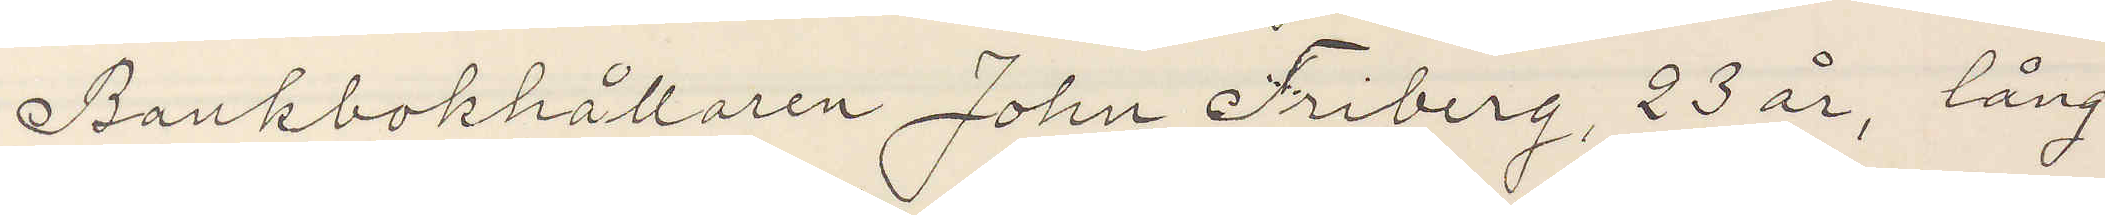Bankbokhållaren Johan Friberg, 23 år, lång
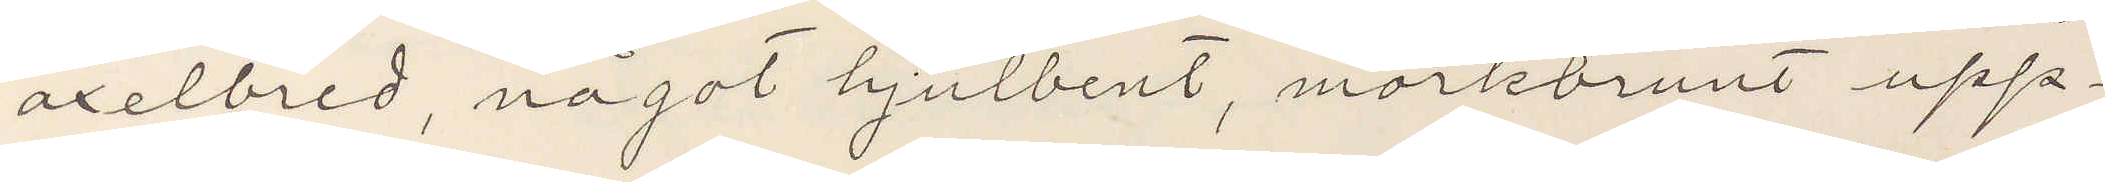axelbred, något hjulbent, mörkbrunt upp¬
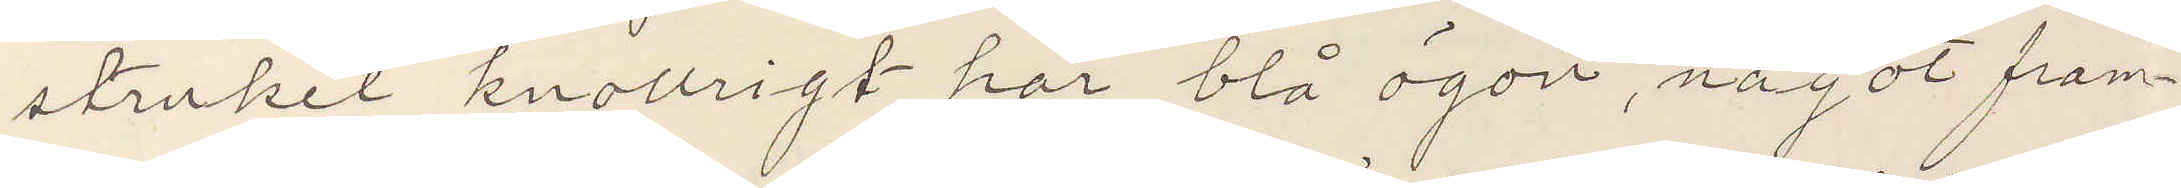struket knollrigt hår, blå ögon, något fram¬
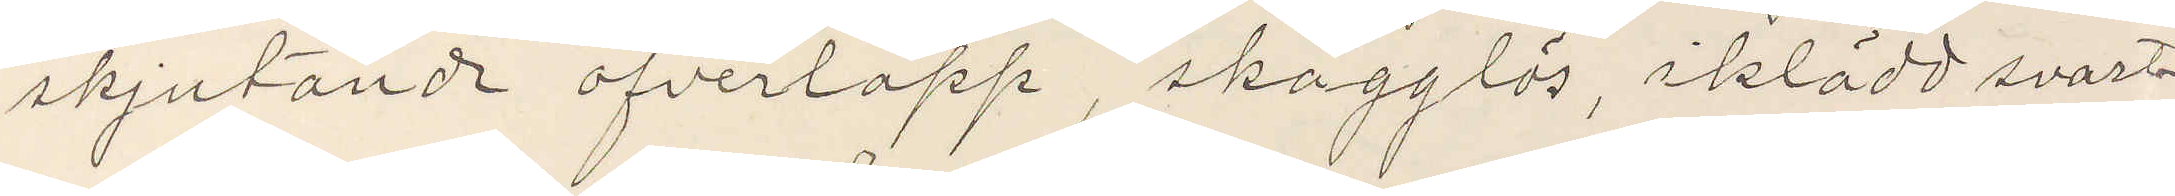skjutande öfverläpp, skägglös, iklädd svart¬
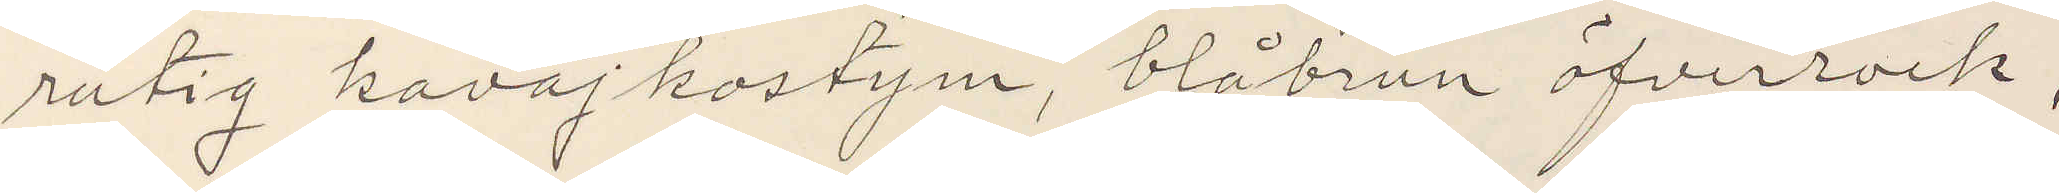rutig kavajkostym, blåbrun öfverrock,
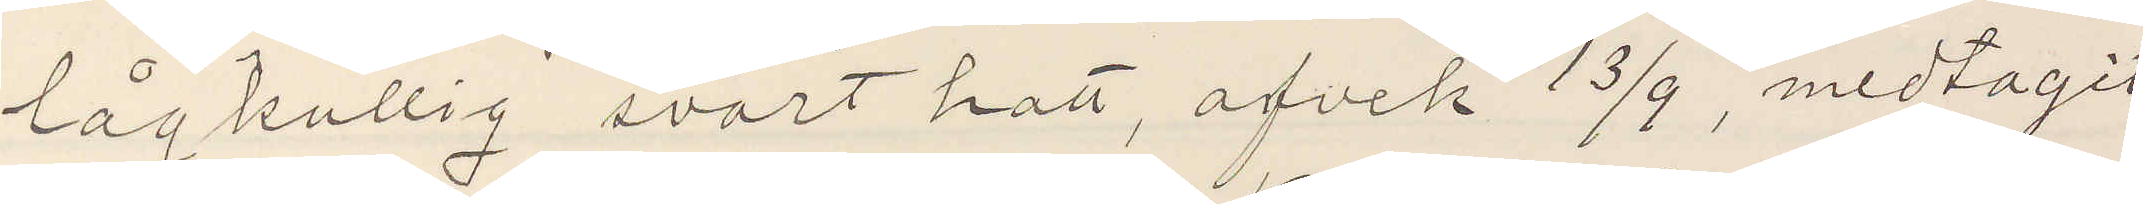lågkullig svart hatt, afvek 13/9, medtagit
